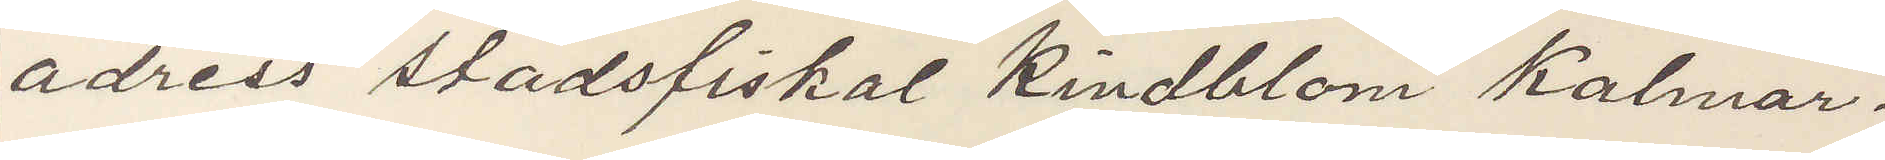adress stadsfiskal Kindblom Kalmar.
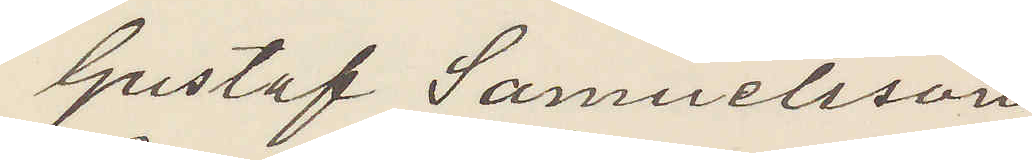Gustaf Samuelsson
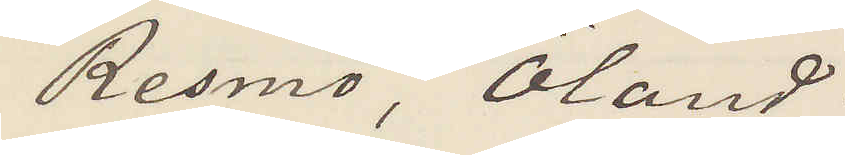Resmo, Öland.
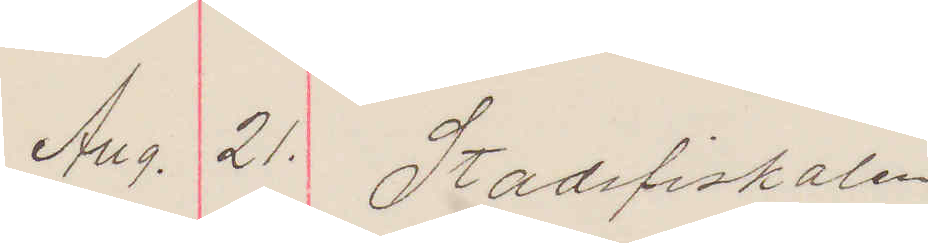Aug. 21. Stadsfiskalen
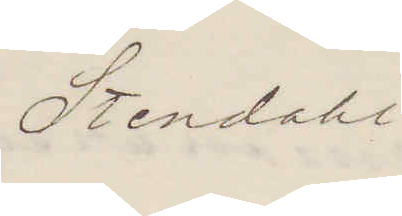Stendahl
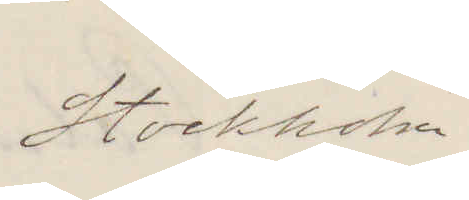Stockholm.
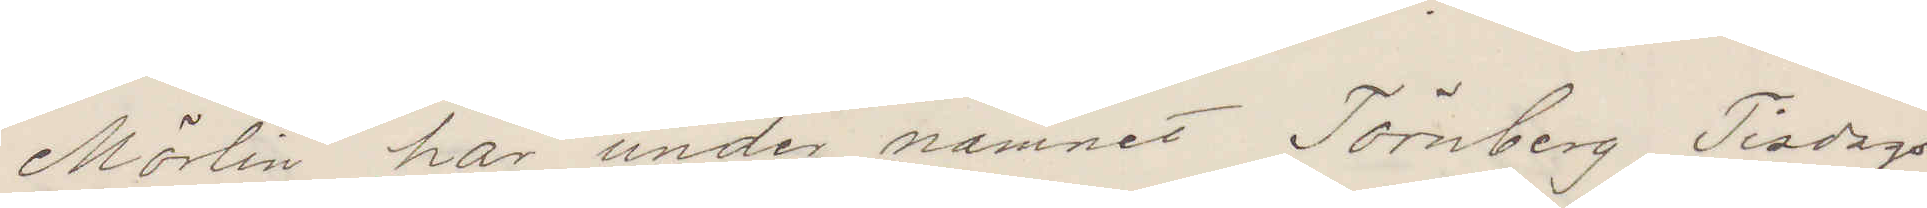Mörrlin har under namnet Törnberg Tisdags
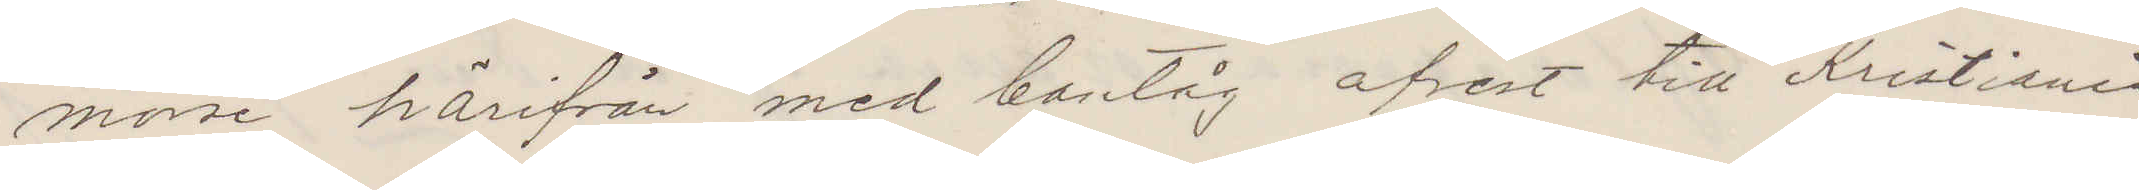morse härifrån med bantåg afrest till Kristiania
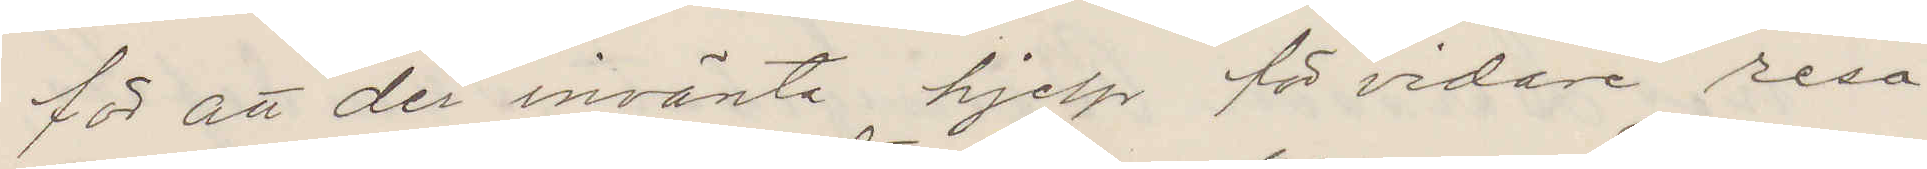för att der invänta hjelp för vidare resa.
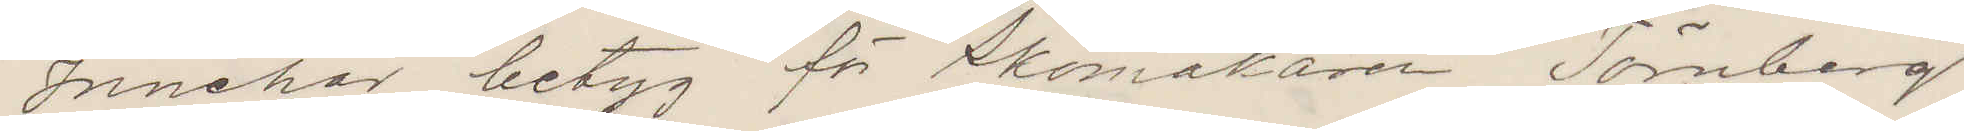Innehar betyg för Skomakaren Törnberg
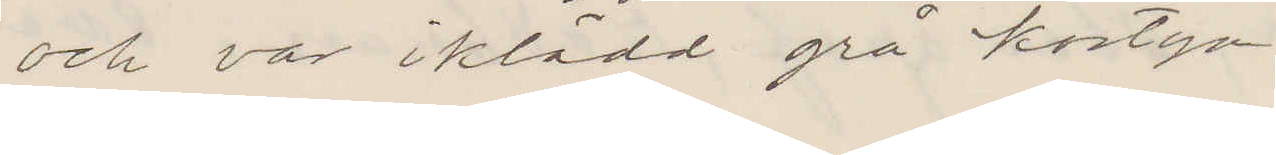och var iklädd grå kostym.
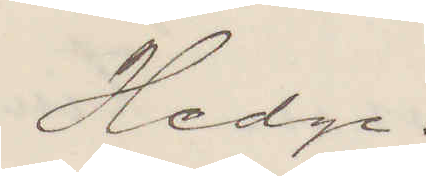Hedge.
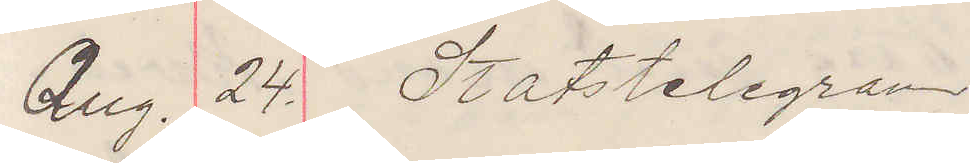Aug. 24. Statstelegram
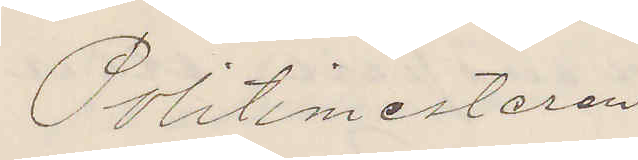Politimesteren
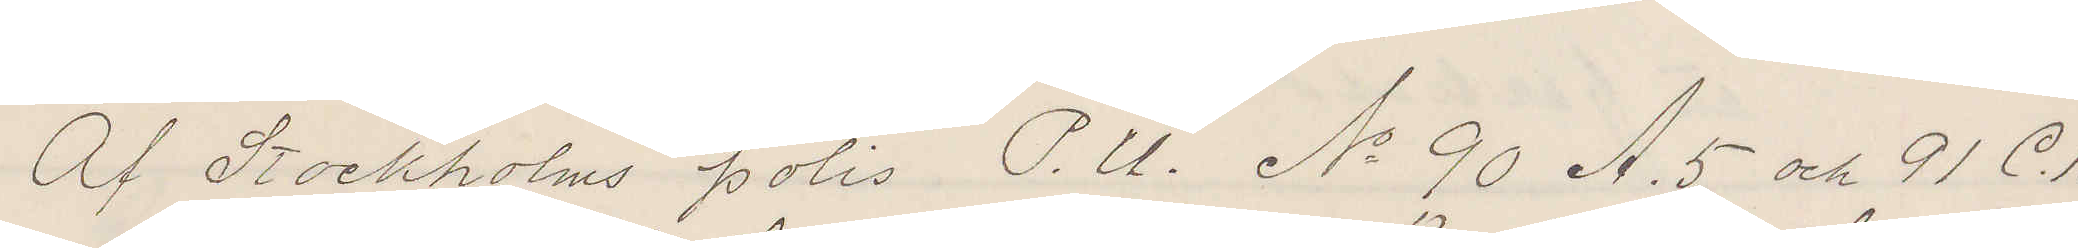Af Stockholms polis P. U. No 90 A. 5 och 91 C. 1
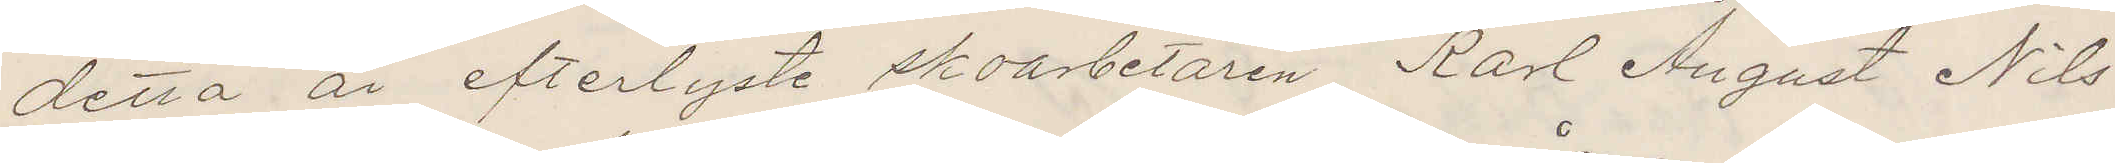detta år efterlyste skoarbetaren Karl August Nils¬
